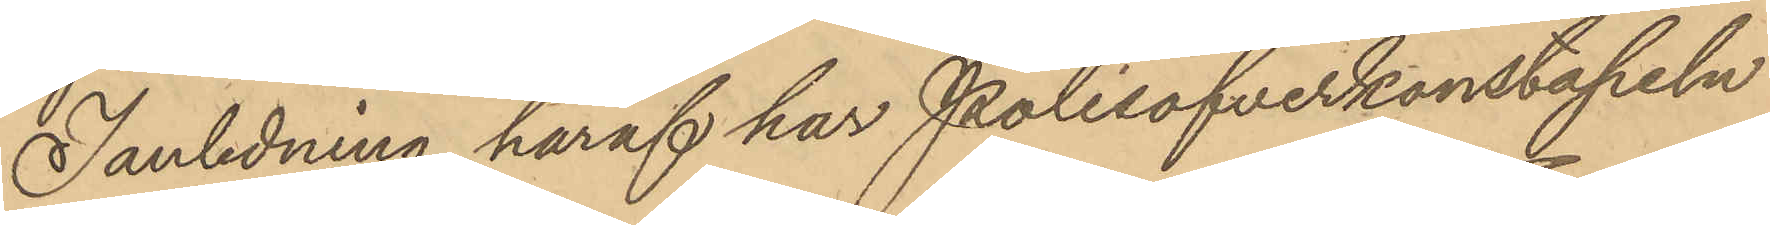I anledning häraf har Polisöfverkonstapeln
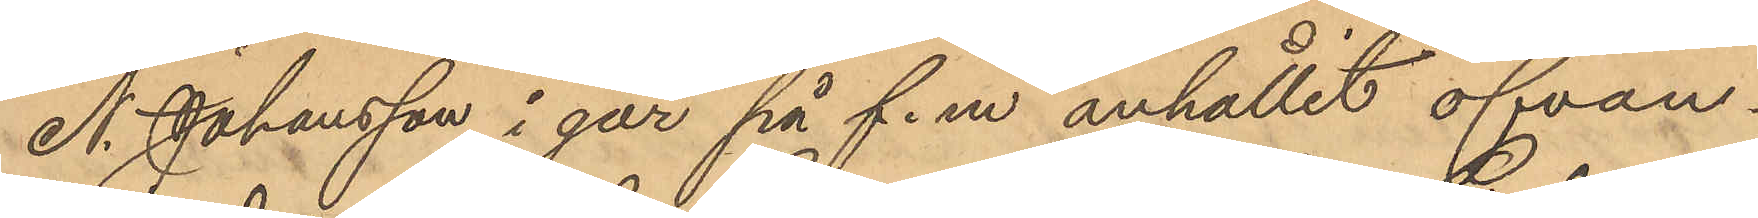A. Johansson i går på f.m anhållit ofvan¬
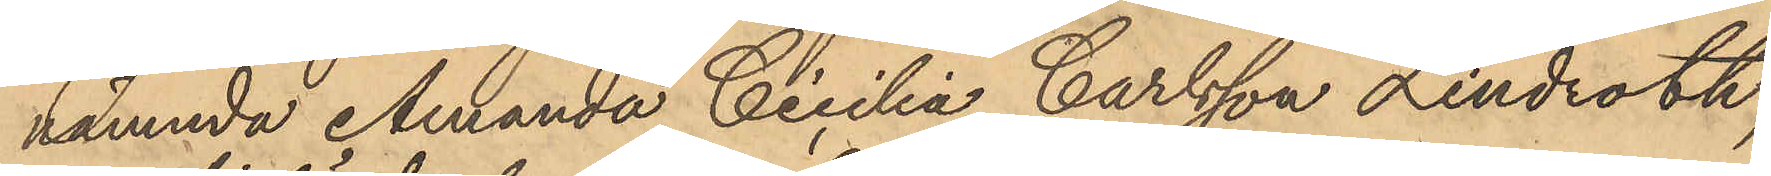nämnda Amanda Cicilia Carlsson Lindroth,
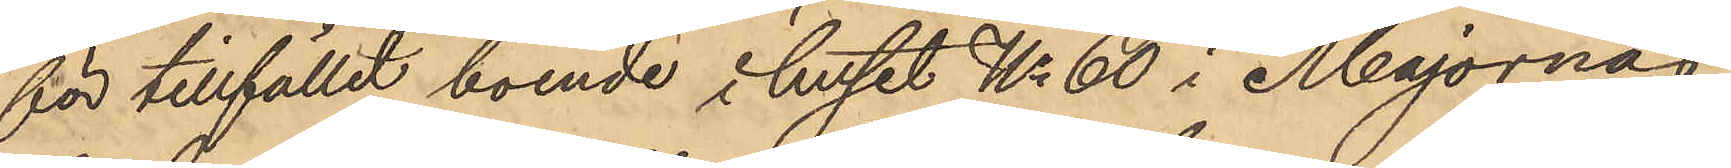för tillfället boende i huset No 60 i Majornas
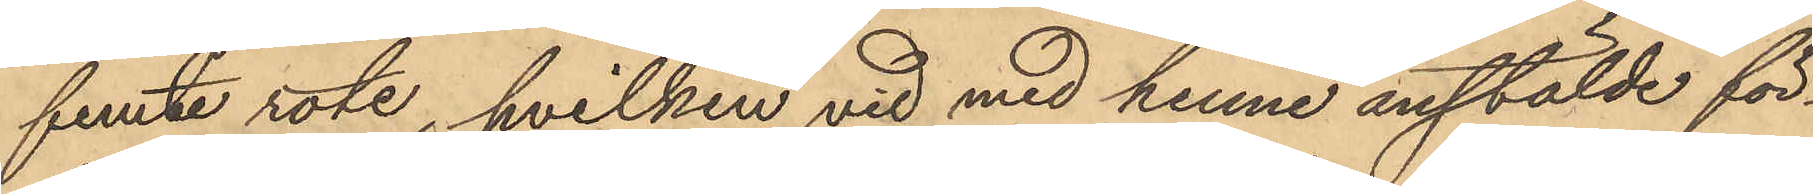femte rote, hvilken vid med henne anstälde för¬
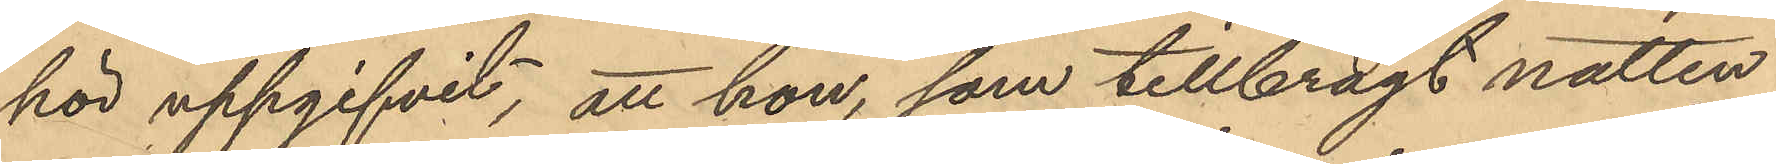hör uppgifvit, att hon, som tillbragt natten
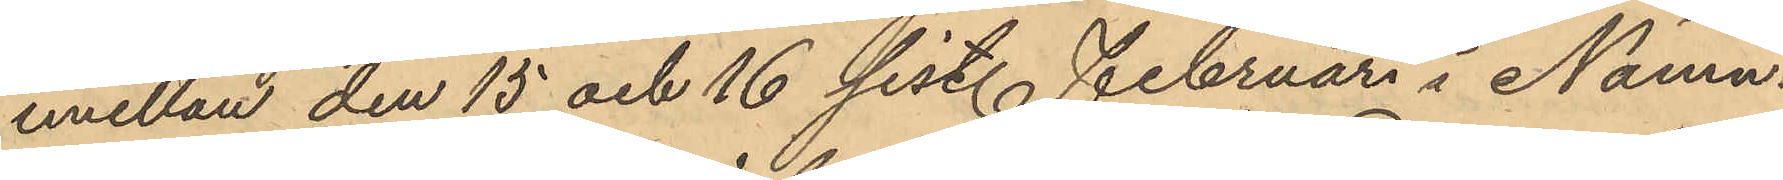emellan den 15 och 16 sist. Februari i Nämn¬
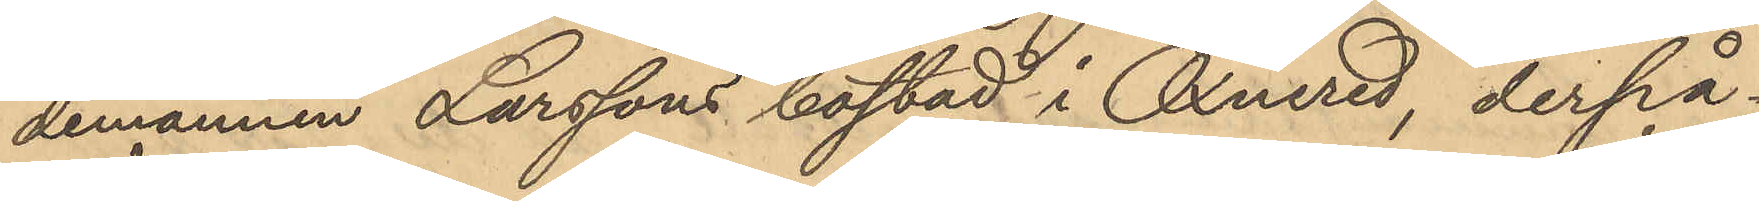demannen Larssons bostad i Öxnered, derpå¬
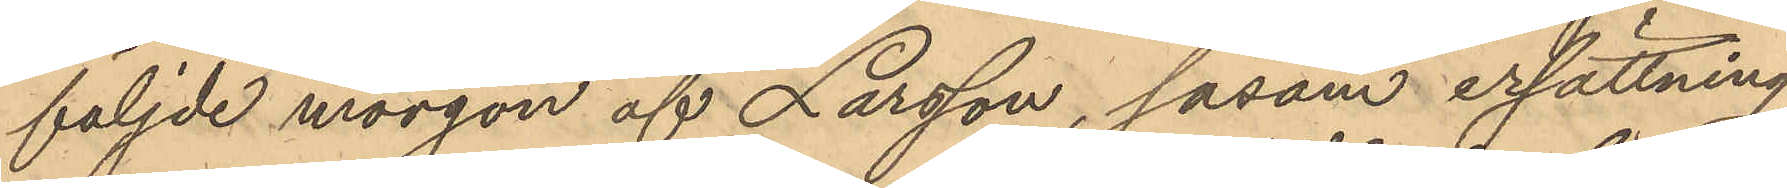följde morgon af Larsson, såsom ersättning
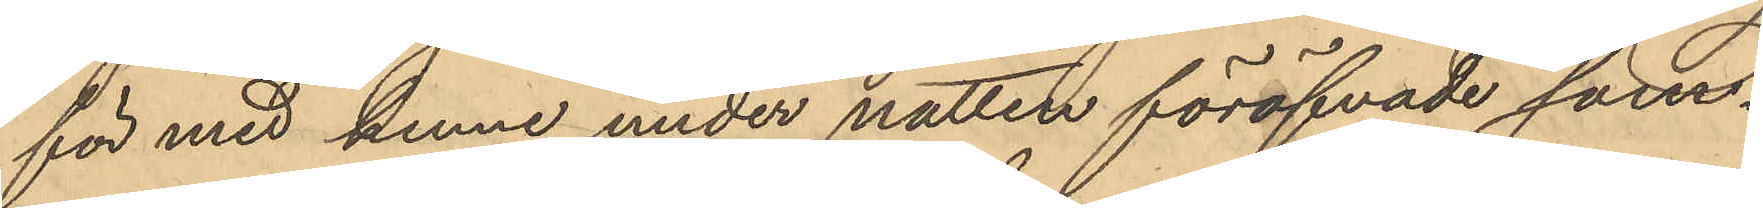för med henne under natten föröfvade sam¬
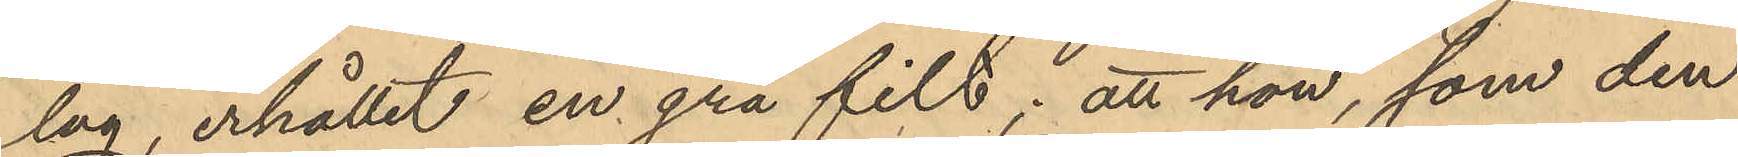lag, erhållit en grå filt; att hon, som den
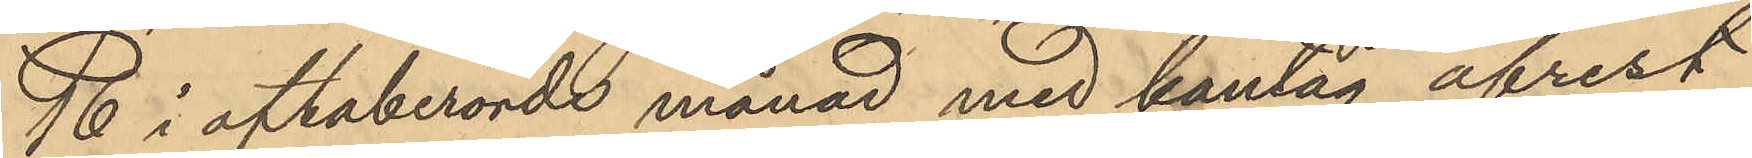16 i oftaberörde månad med bantåg afrest
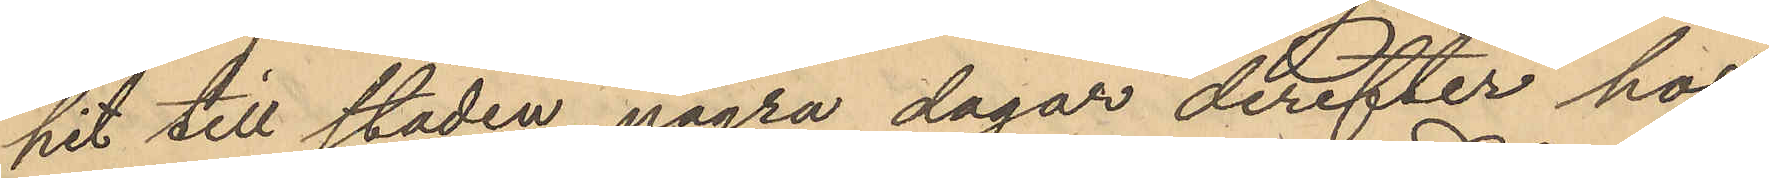hit till staden, några dagar derefter hos
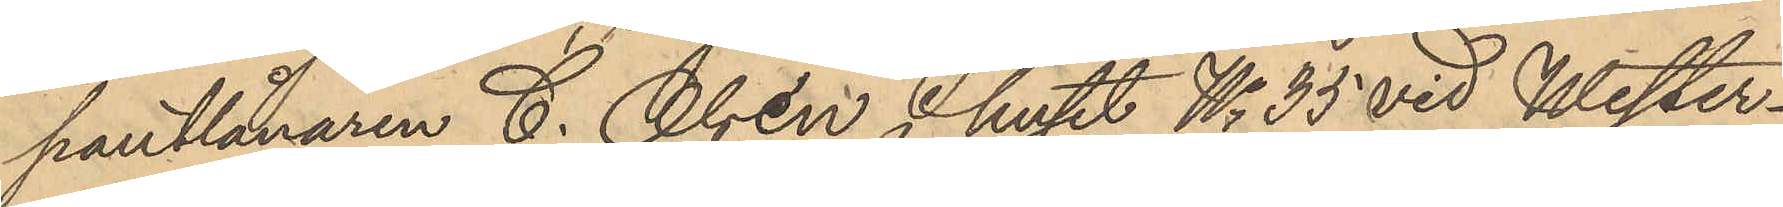pantlånaren C. Olsén i huset No 35 vid Wester¬
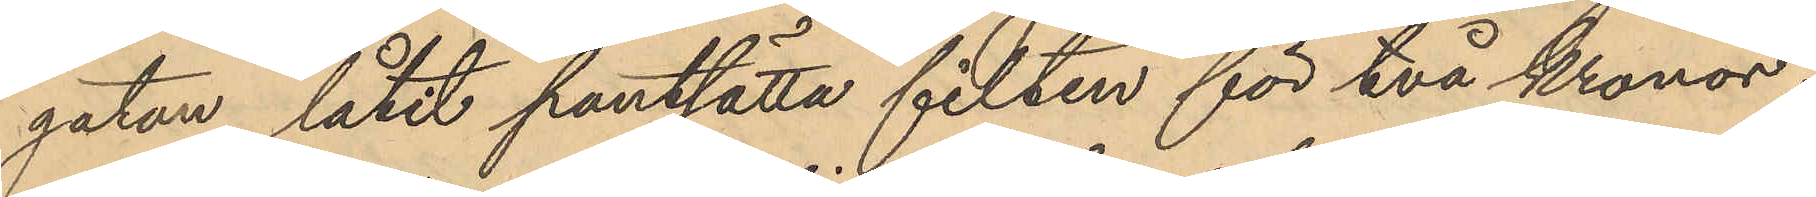gatan låtit pantsätta filten för två kronor;
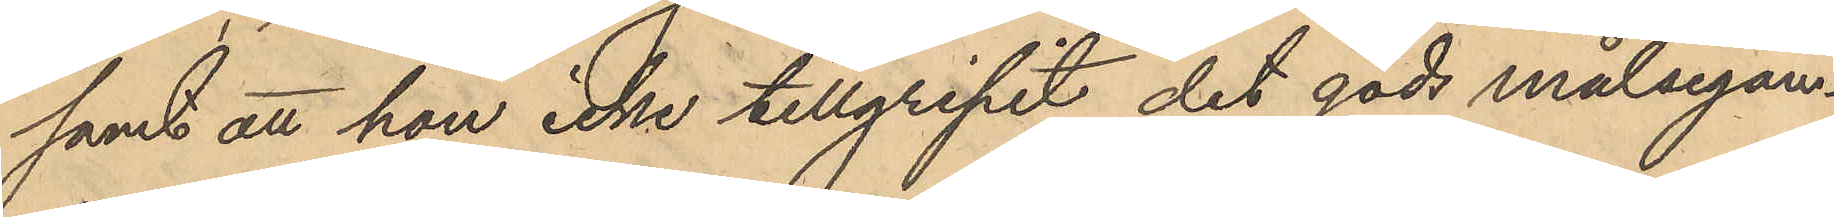samt att hon icke tillgripit det gods målsegan¬
